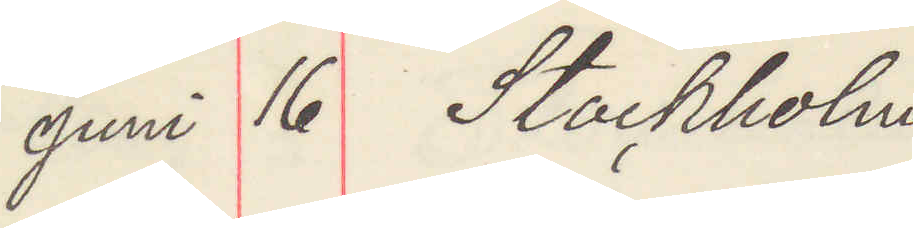Juni 16 Stockholm
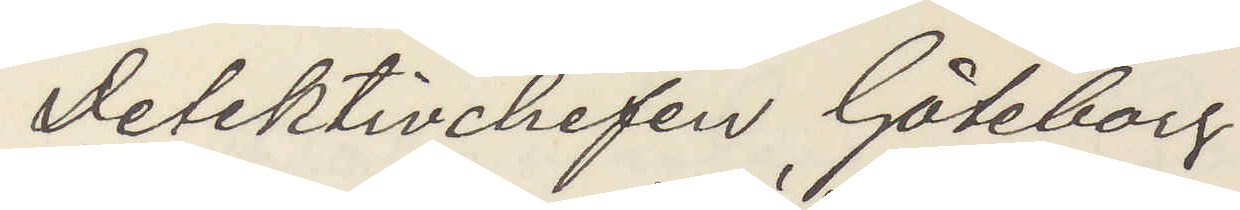Detektivchefen Göteborg
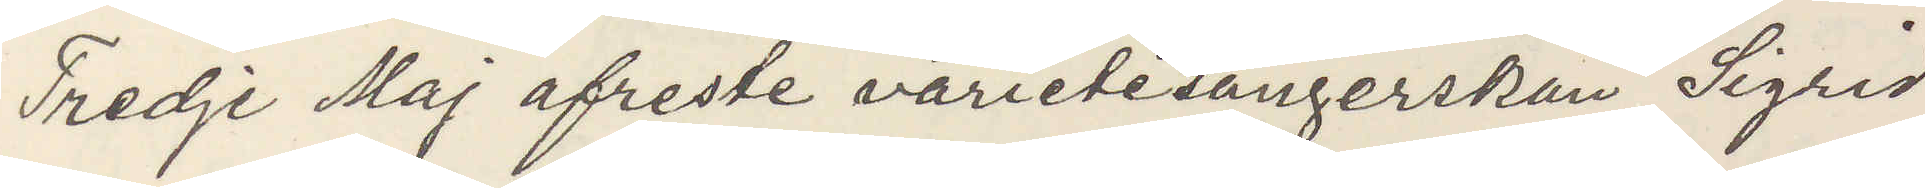Tredje Maj afreste varitésångerskan Sigrid
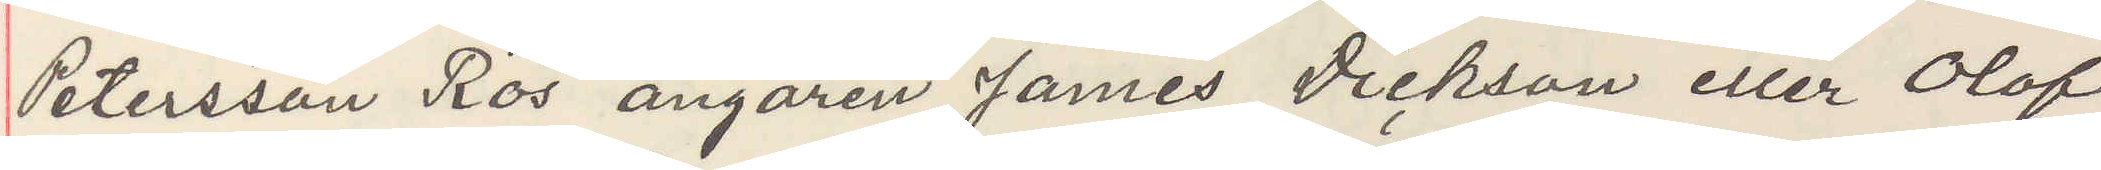Petersson Ros ångaren James Dickson eller Olof
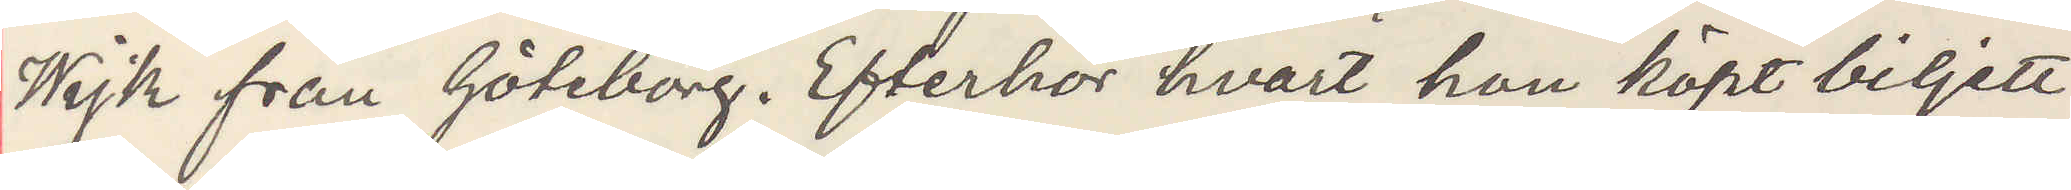Wijk från Göteborg. Efterhör hvart hon köpt biljett
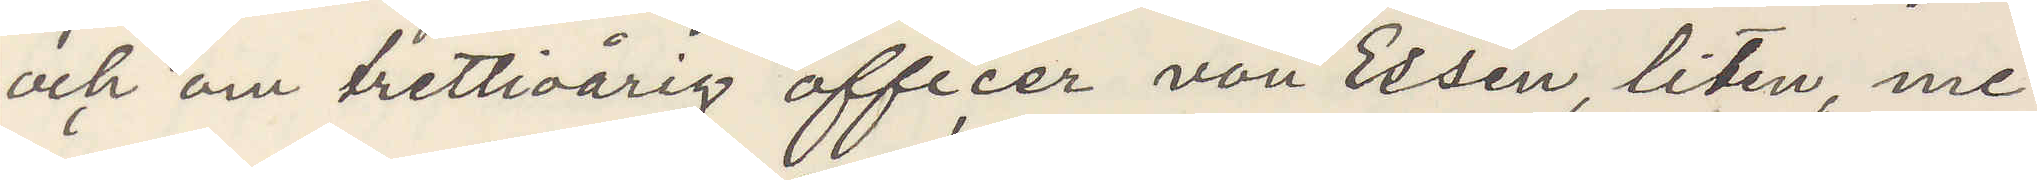och om trettioårig officer von Essen, liten, me¬
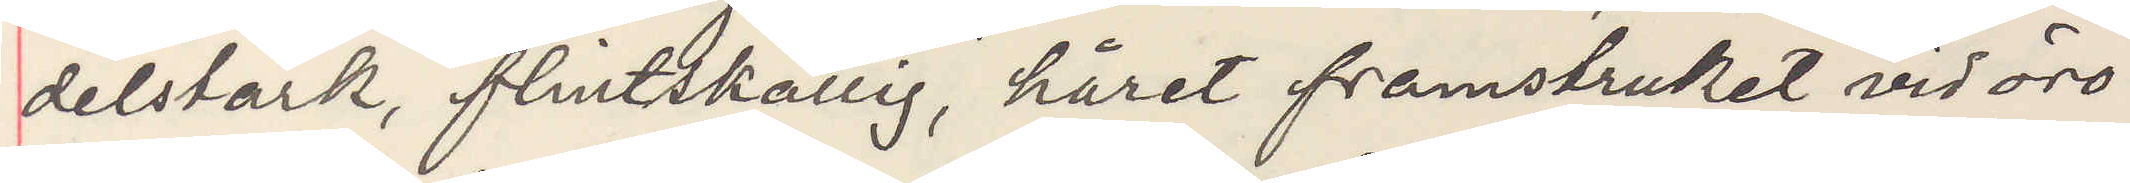delstark, flintskallig, håret framstruket vid öro¬
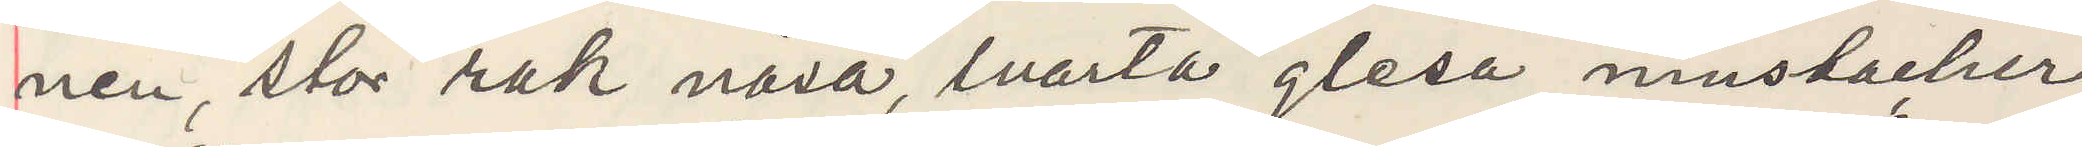nen, stor rak näsa, svarta glesa mustacher,
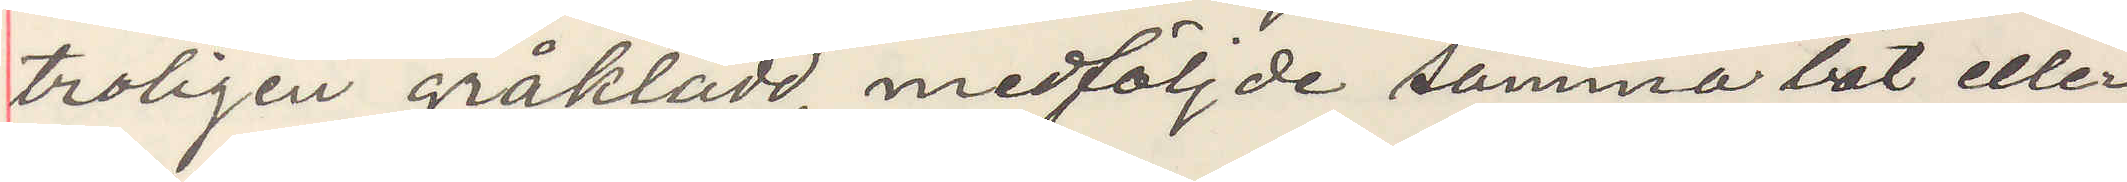troligen gråklädd, medföljde samma båt eller
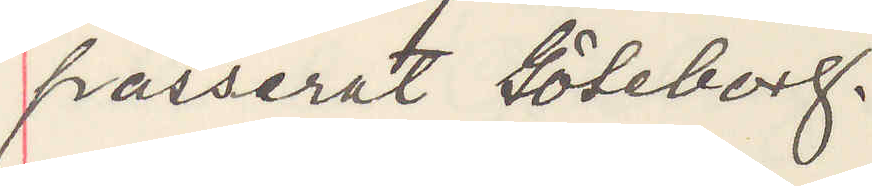passerat Göteborg.
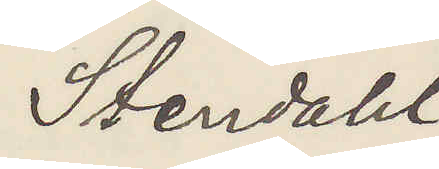Stendahl
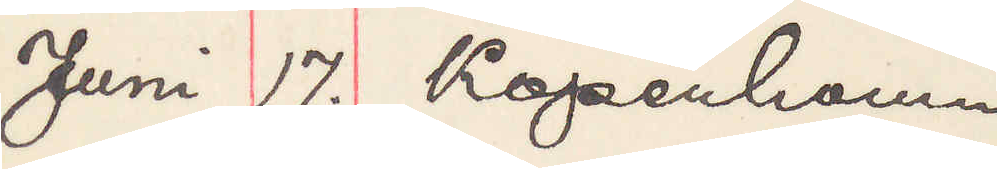Juni 17. Köpenhamn
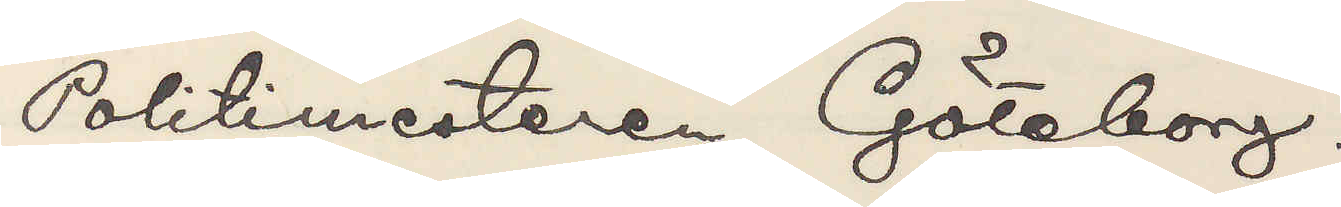Politimesteren Göteborg.
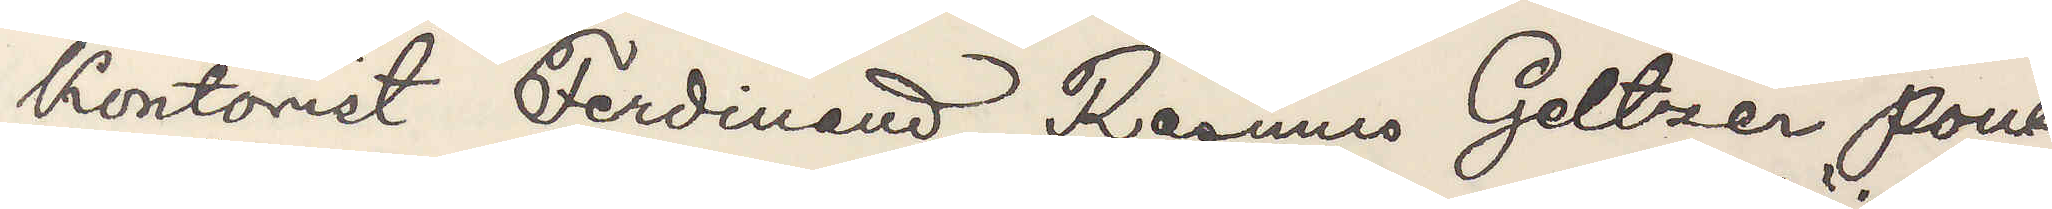Kontorist Ferdinand Rasmus Geltzer Poul¬
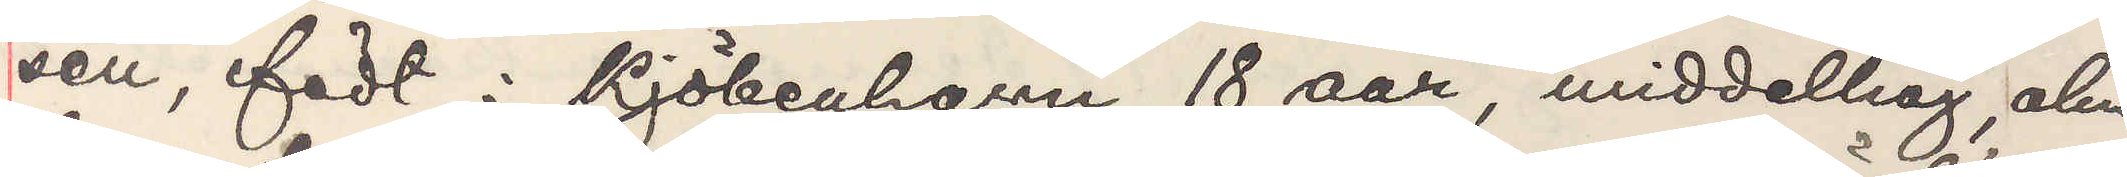sen, födt i Kjöbenhavn 18 aar, middelhöi, alm
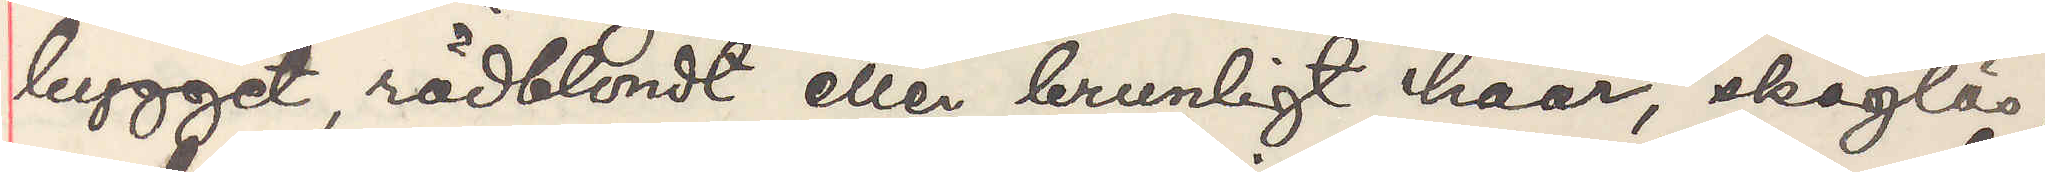bygget, rödblondt eller brunligt haar, skäglös,
